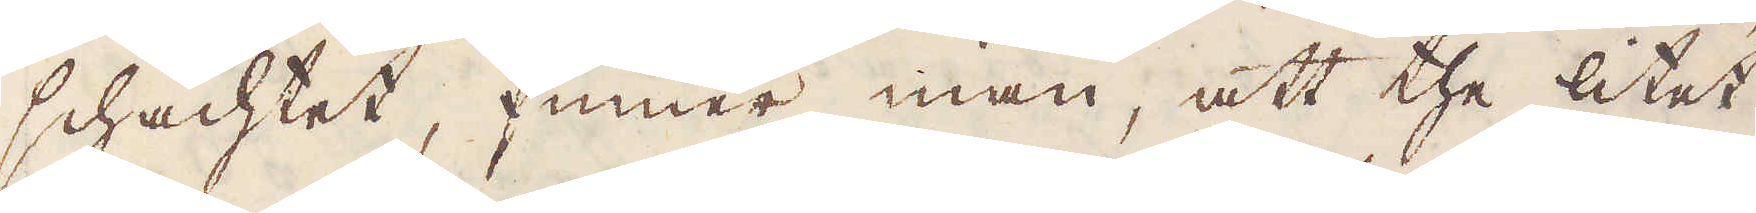schachtet, finner man, att the litet
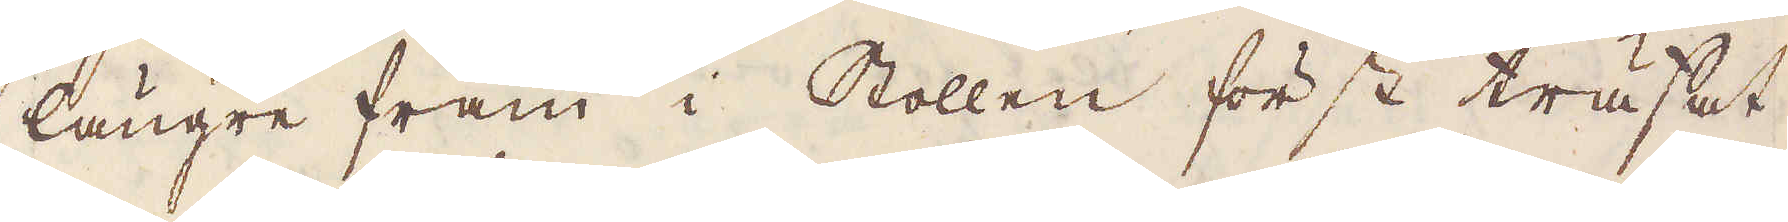längre fram i Stollen först träffat
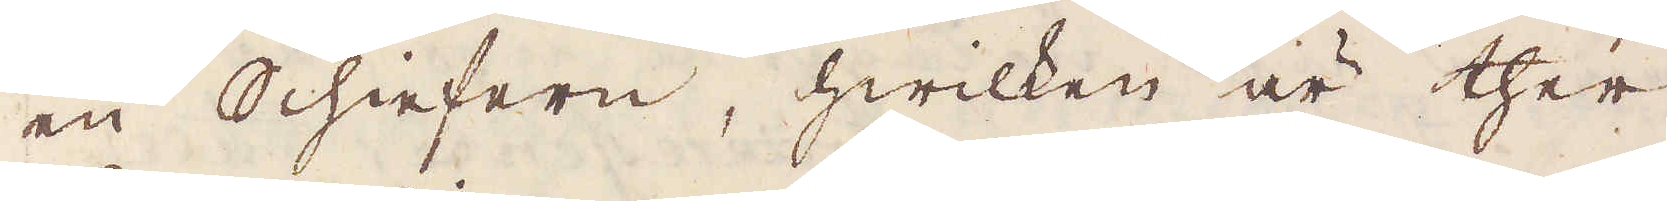en Schiefern, hwilken är ther
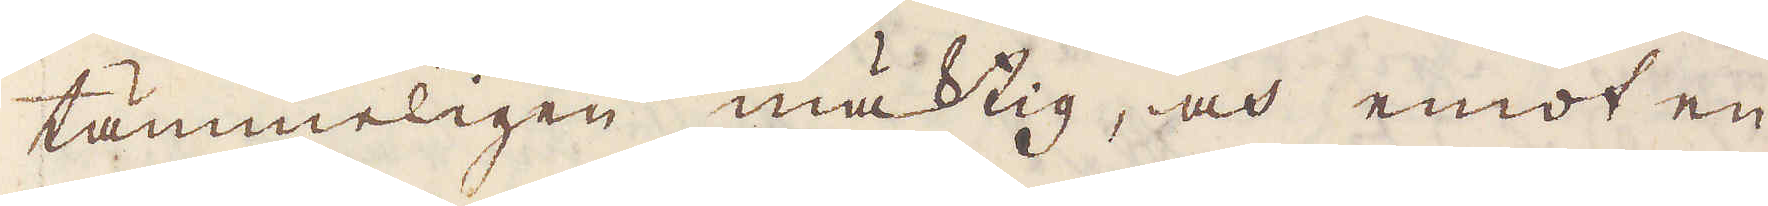tämmeligen mäktig, och emot en
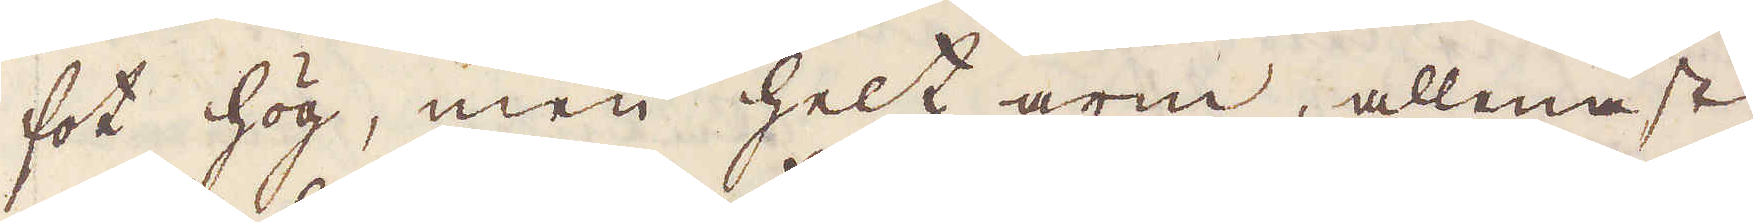fot hög, men helt arm, allenast
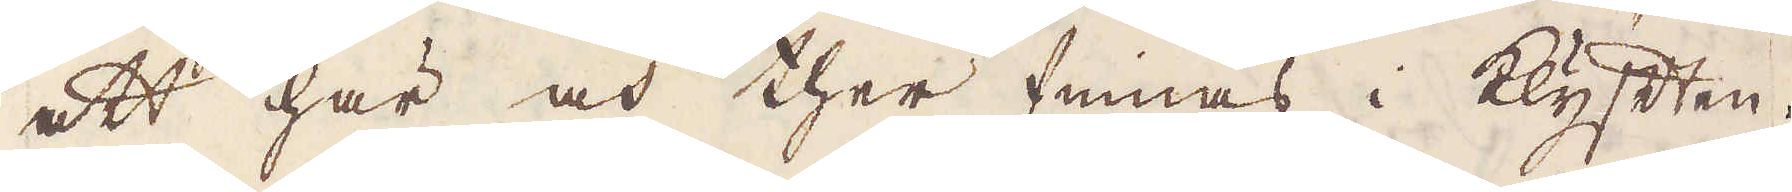att här och ther finnas i klyften
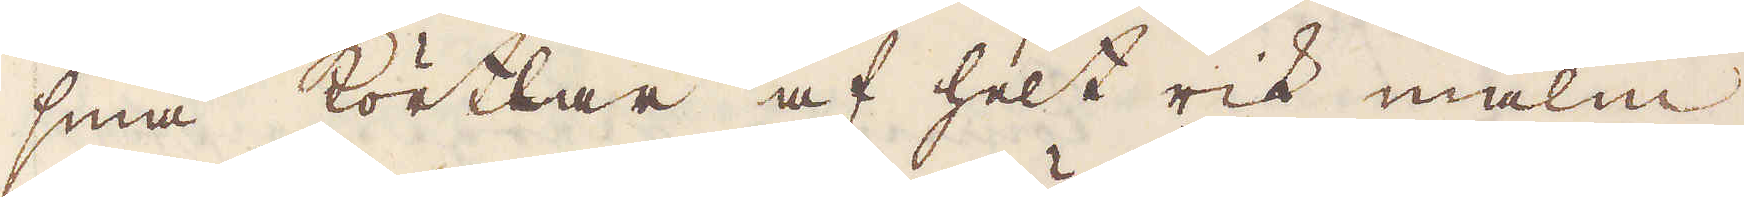små Körtlar af helt rik malm,
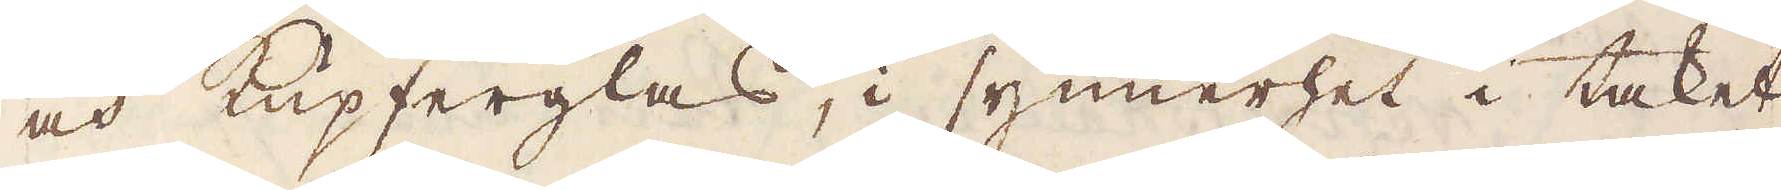och kupferglas, i synnerhet i taket,
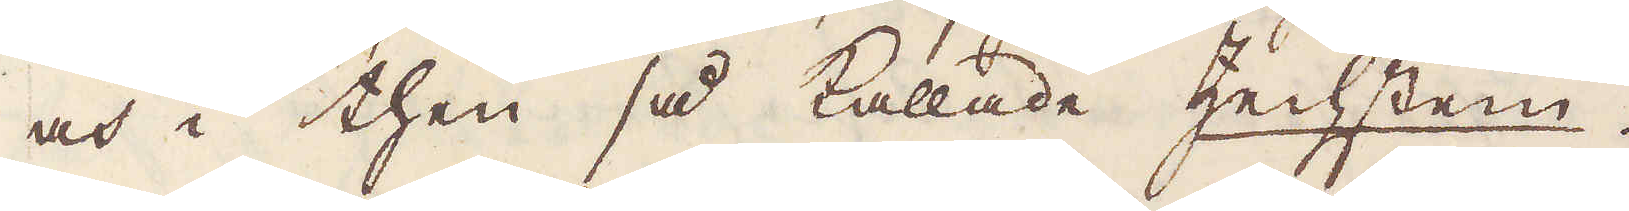och i then så kallade Zechstein.
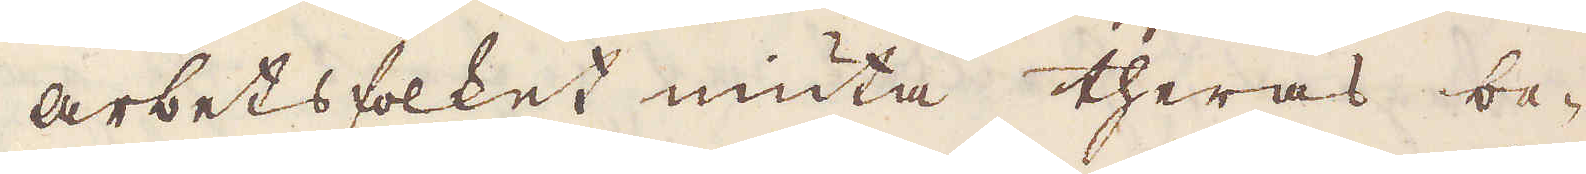Arbetsfolket niuta theras be-
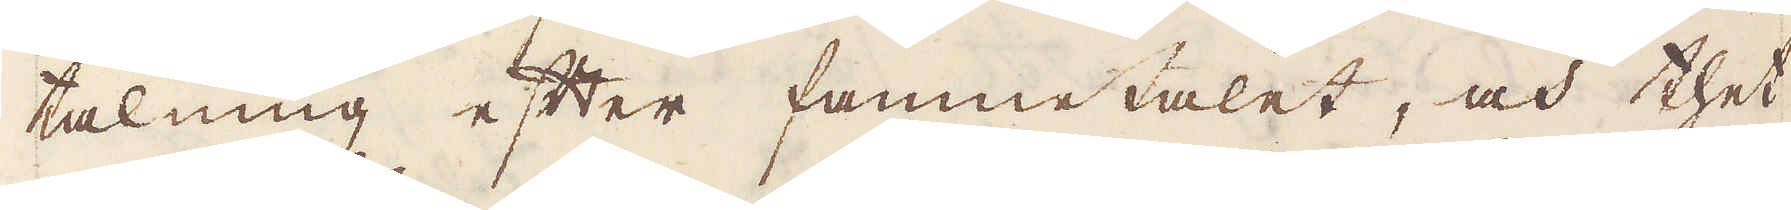talning efter famnetalet, och thet
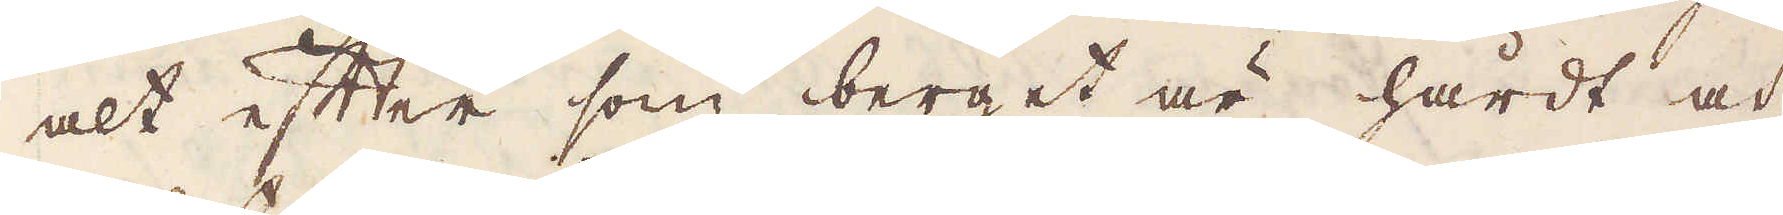alt efter som berget är hårdt och
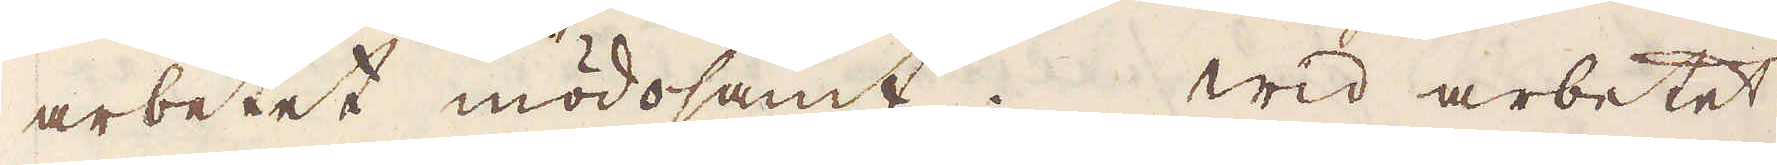arbetet mödosamt. Wid arbetet
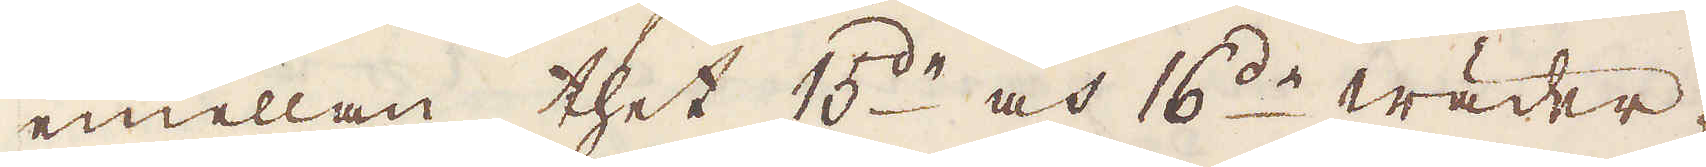emellan thet 15:de och 16:de wäder-
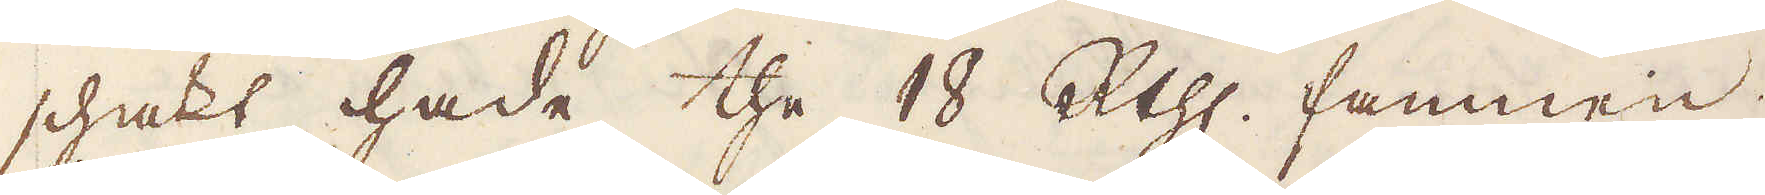schakt hade the 18 R:thlr famnen;
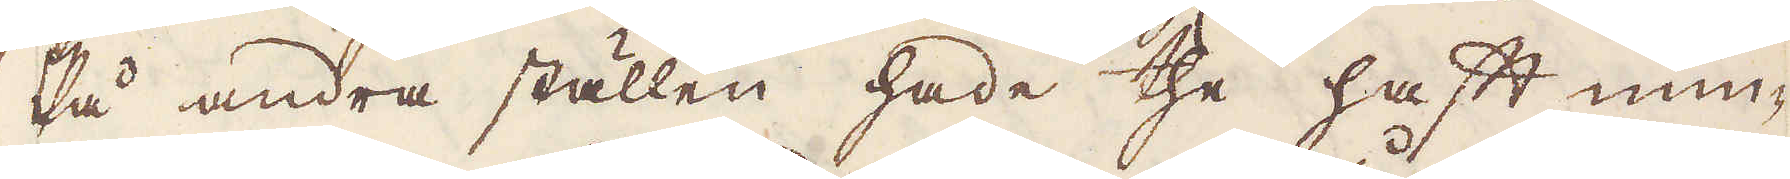På andra ställen hade the haft min-
